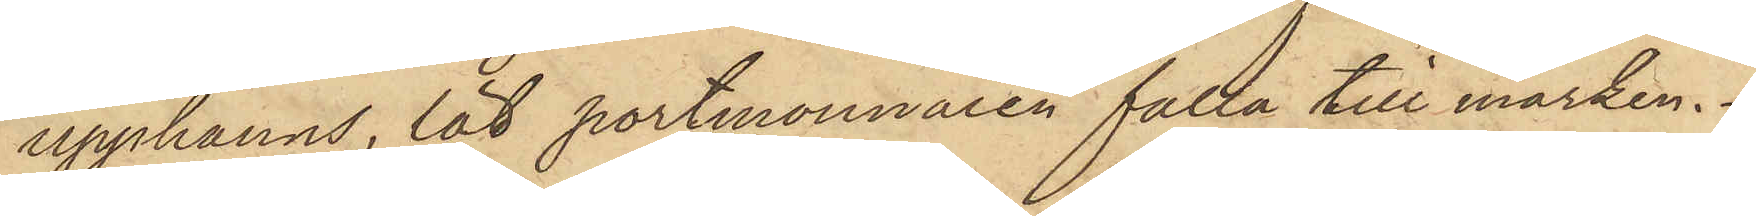upphanns, lät portmonnaien falla till marken.
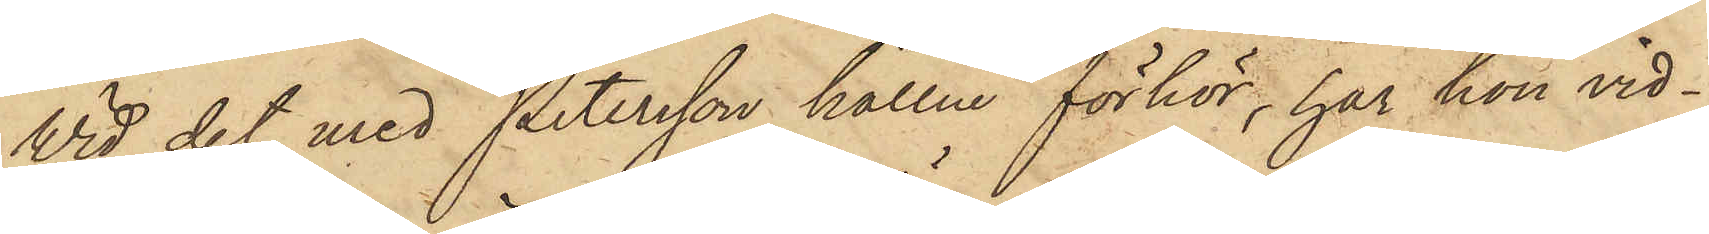Vid det med Petersson hållne förhör, har hon vid¬
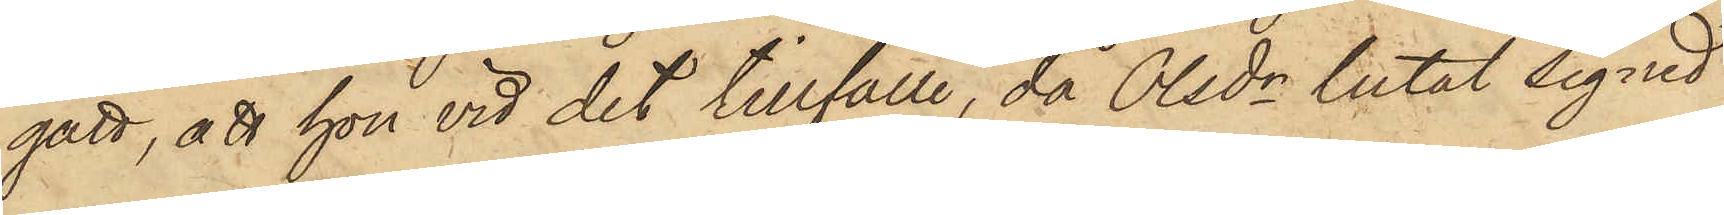gått, att hon vid det tillfälle, då Olsdr lutat sig ned
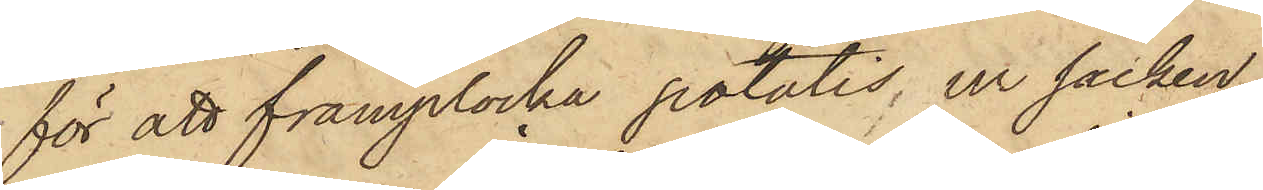för att framplocka potatis ur säcken,
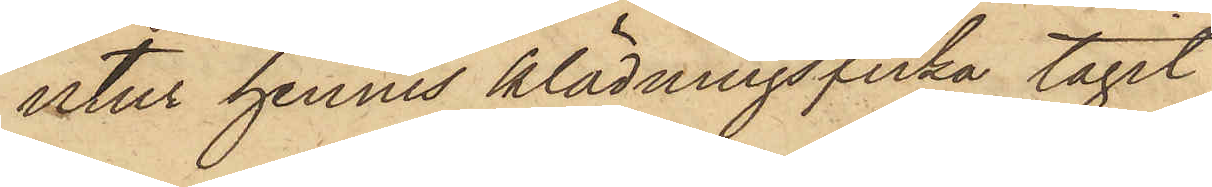utur hennes klädningsficka tagit
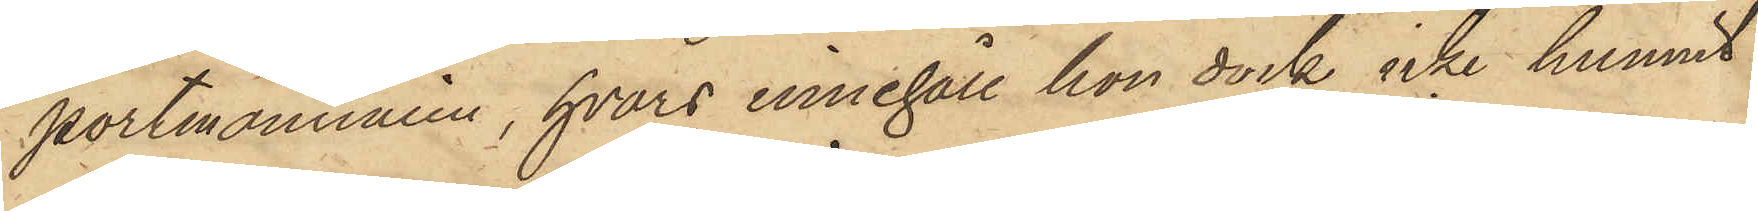portmonnaien, hvars innehåll hon dock icke hunnit
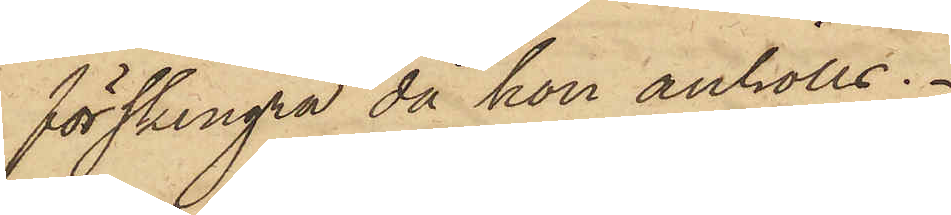förskingra då hon anhölls.
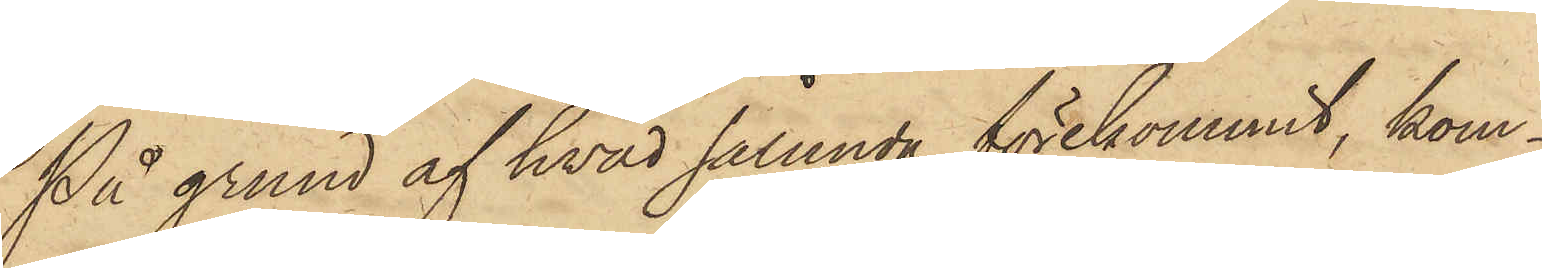På grund af hvad sålunda förekommit, kom¬
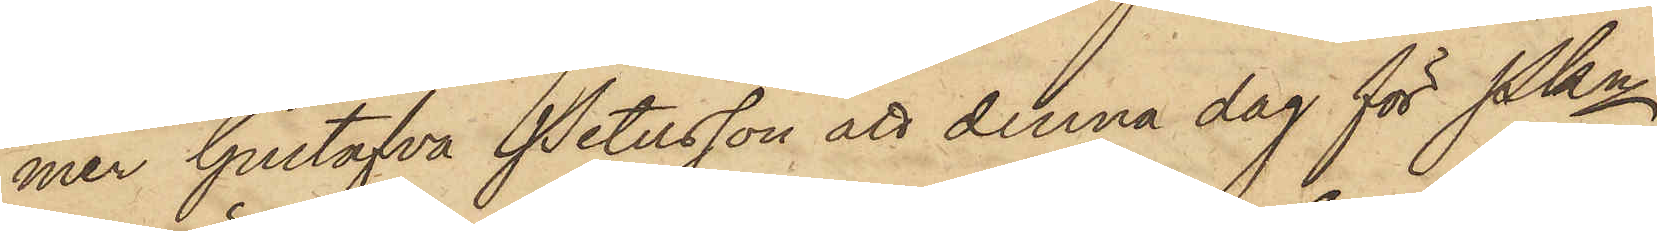mer Gustafva Petersson att denna dag för Pkn
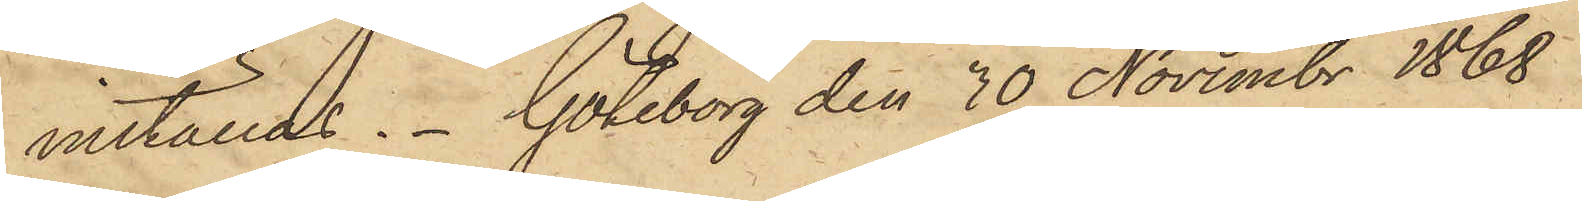inställas. Göteborg den 30 Novembr 1868
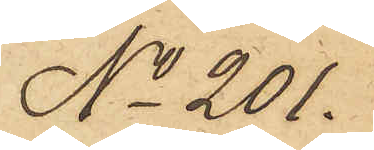No 201.
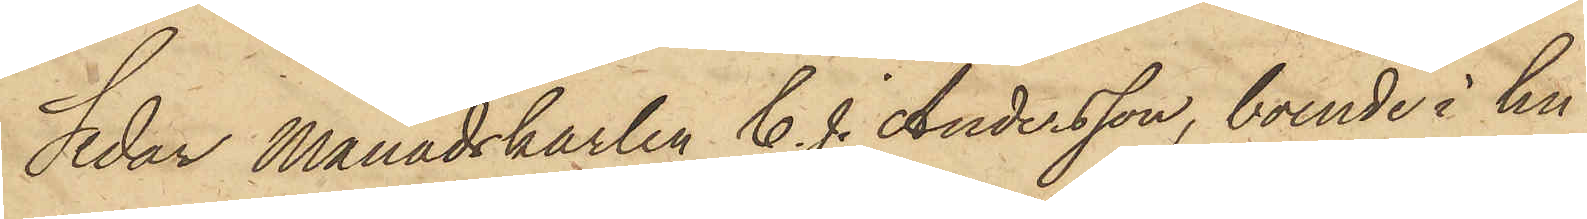Sedan Månadskarlen C. J. Andersson, boende i hu¬
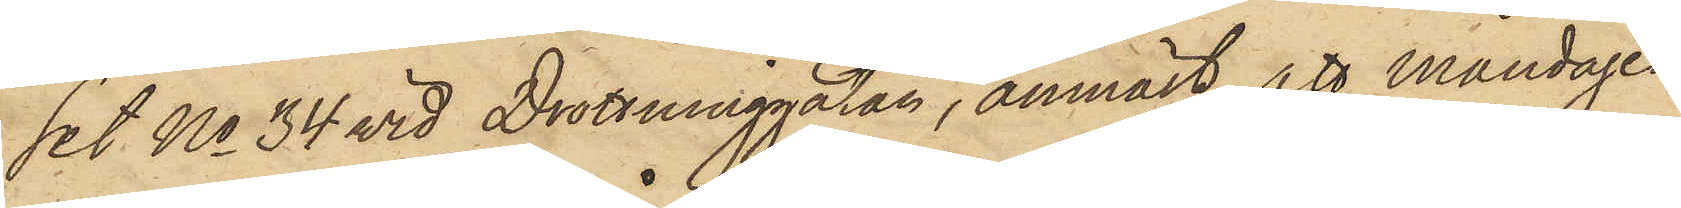set No 34 wid Drottninggatan, anmält att Måndagen
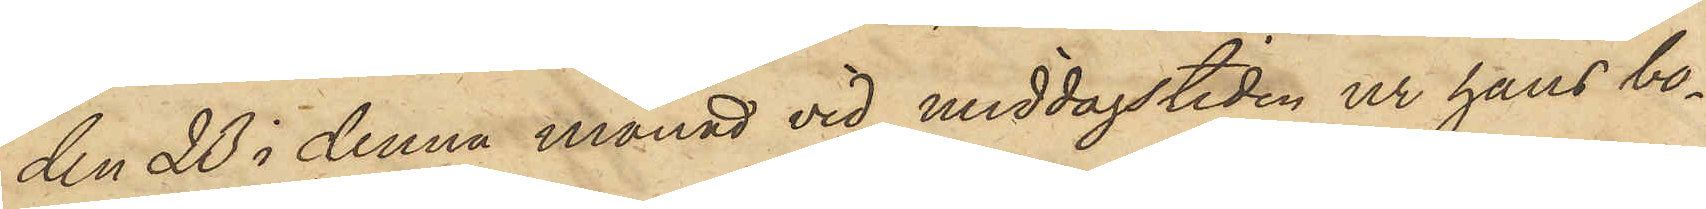den 23 i denna månad vid middagstiden ur hans bo¬
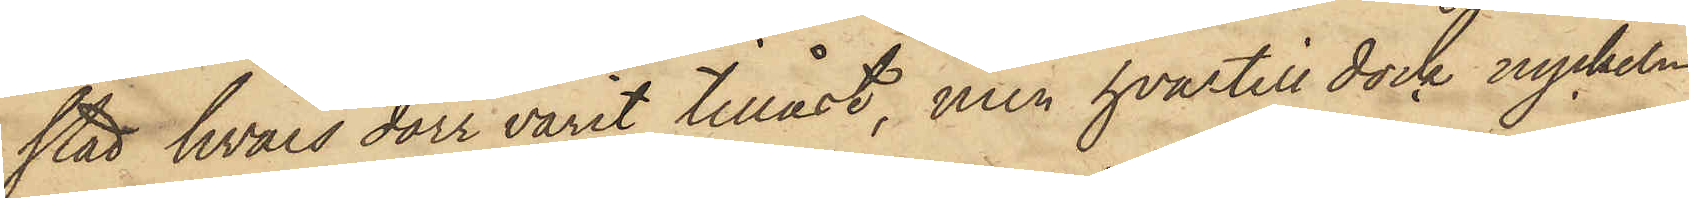stad, hvars dörr varit tillåst, men hvartill dock nyckeln
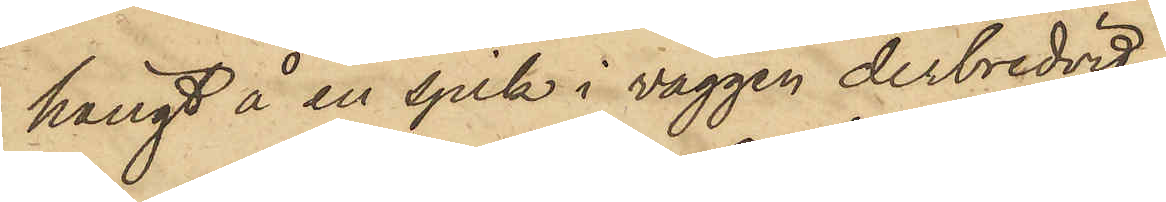hängt å en spik i väggen derbredvid,
